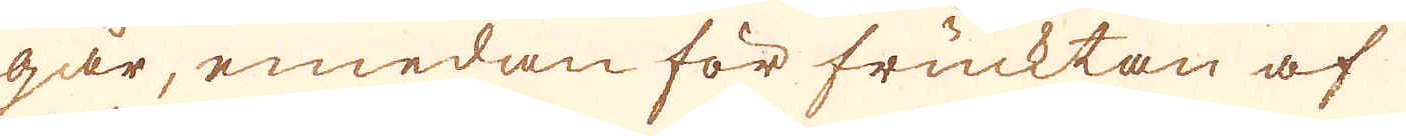går, emedan för frucktan af
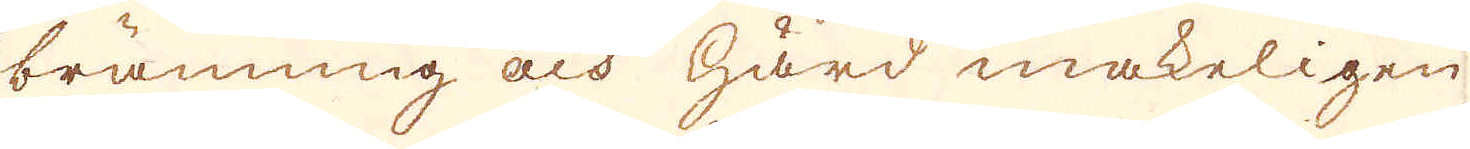bränning och härd makeligen
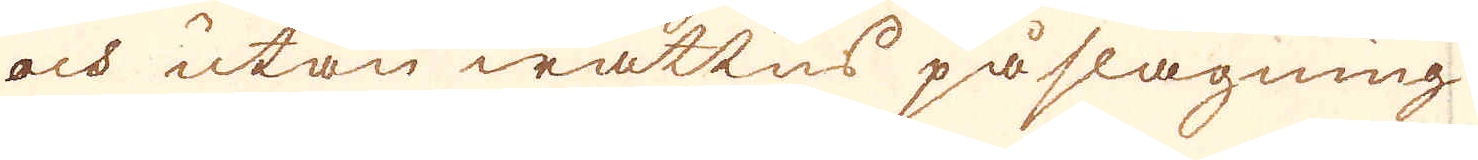och utan wattns påslagning
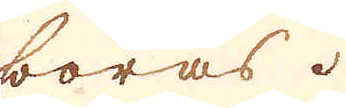boras.
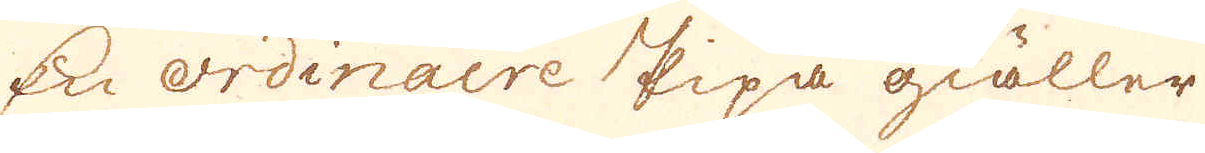En ordinaire Pipa giäller
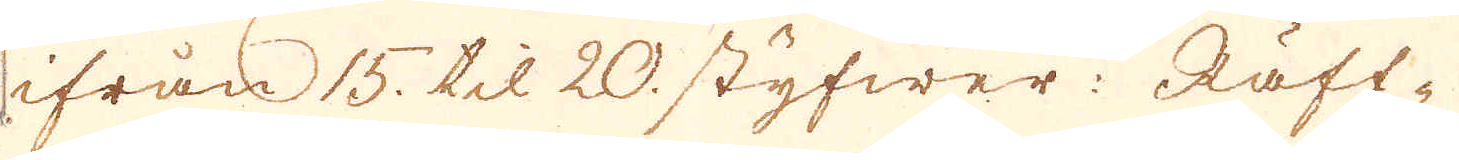ifrån 15. til 20. styfwer: Räff-
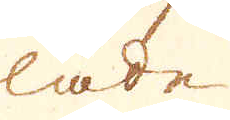lade
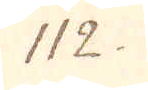112.
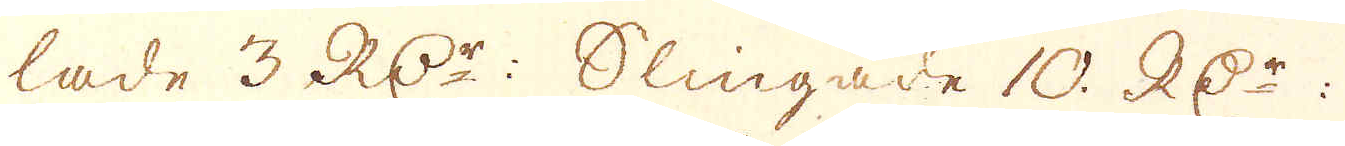lade 3 RD:r: Slingade 10. RD:r:
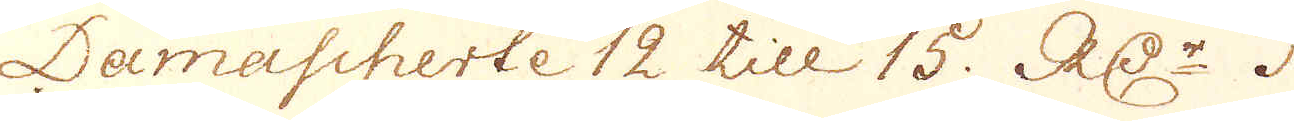Damascherte 12 till 15. RD:r.
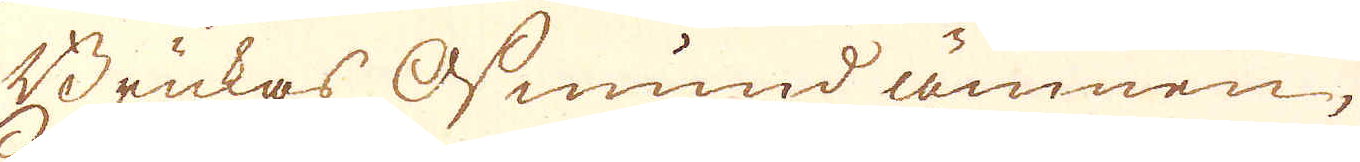Brukas Osmund ämnen,
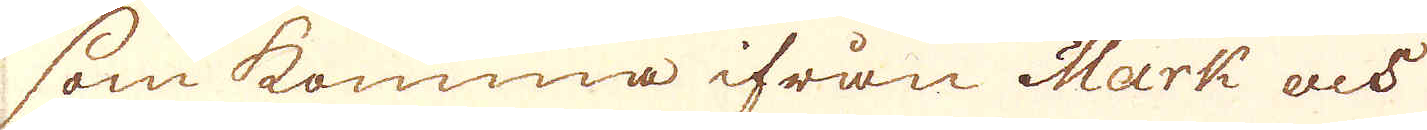som komma ifrån Mark och
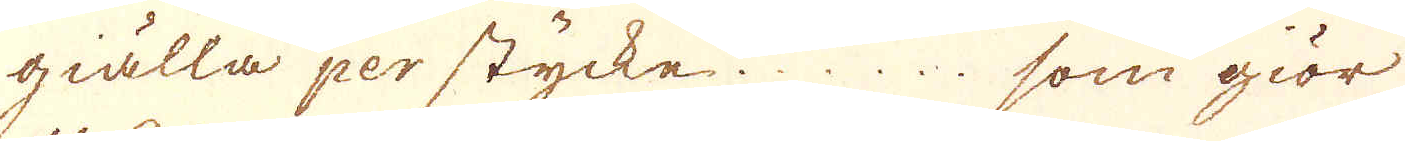giälla per stycke ... som giör
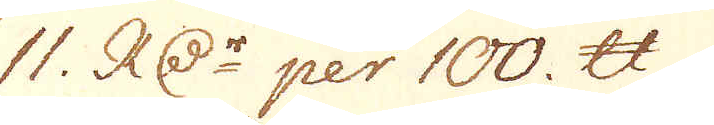11. RD:r per 100. skålpund.
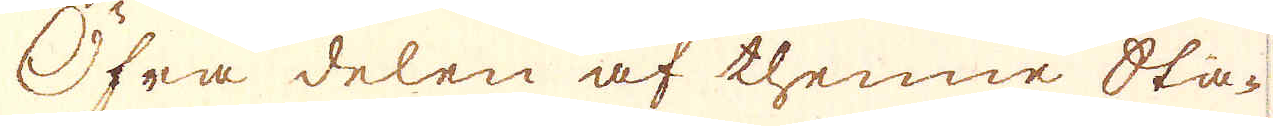Öfra delen af thenne Sta-
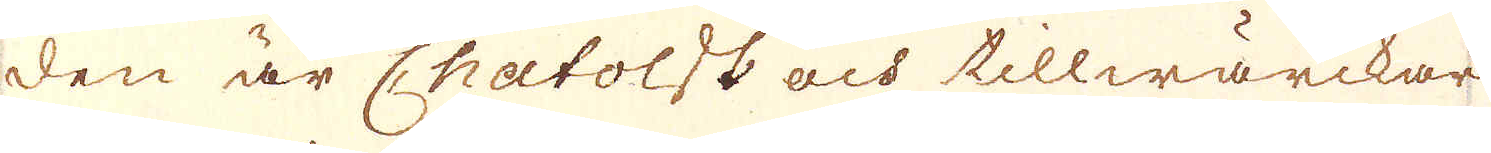den är Chatolsk och tillwärckar
